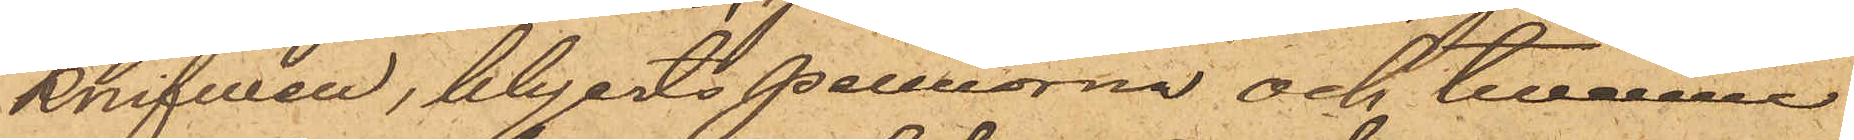knifven, blyertspennorne och tvenne
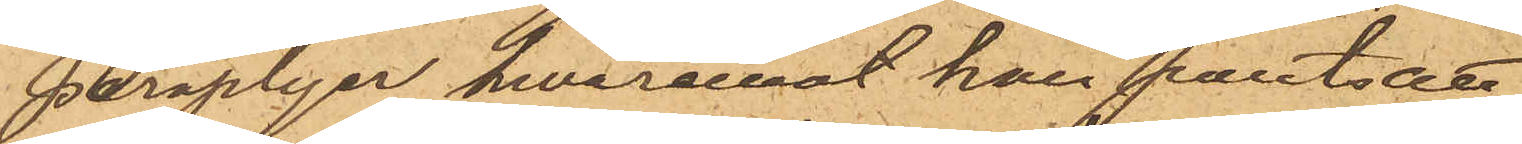paraplyer hwaremot han pantsatt
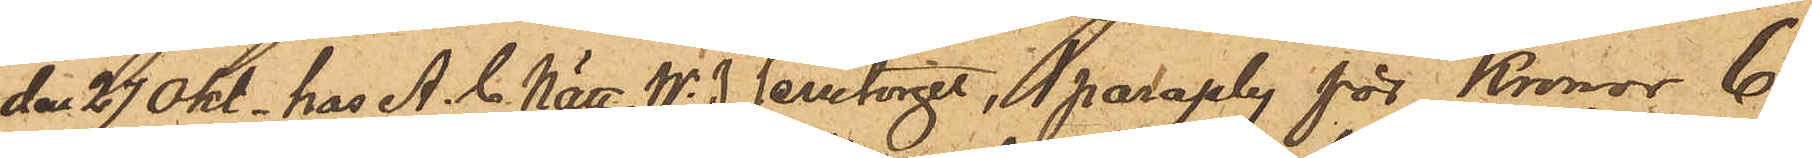den 27 Okt.  hos A. C. Nätt, Nr. 3 Jerntorget, 1 paraply för Kronor 6
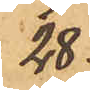28
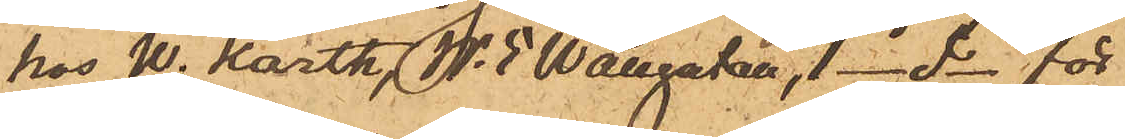hos W. Karth, Nr. 5 Wallgatan, 1 do för do 5
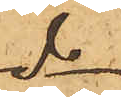do
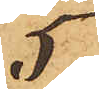5
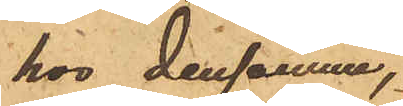hos densamma,
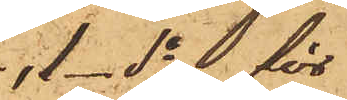1 do för
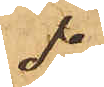do
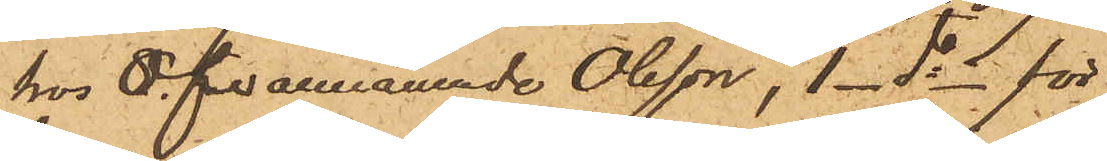hos Ofvannämnde Olsson, 1 do för
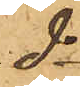do
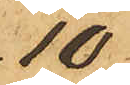10
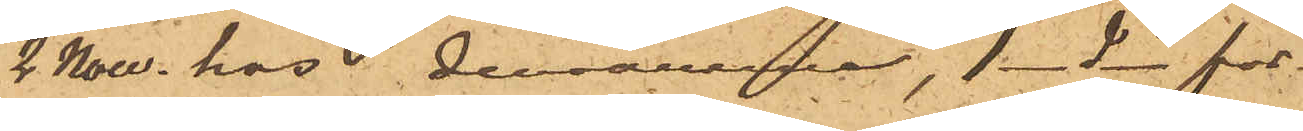2 Nov. hos densamme, 1 do för
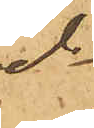do
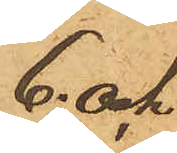6 och
